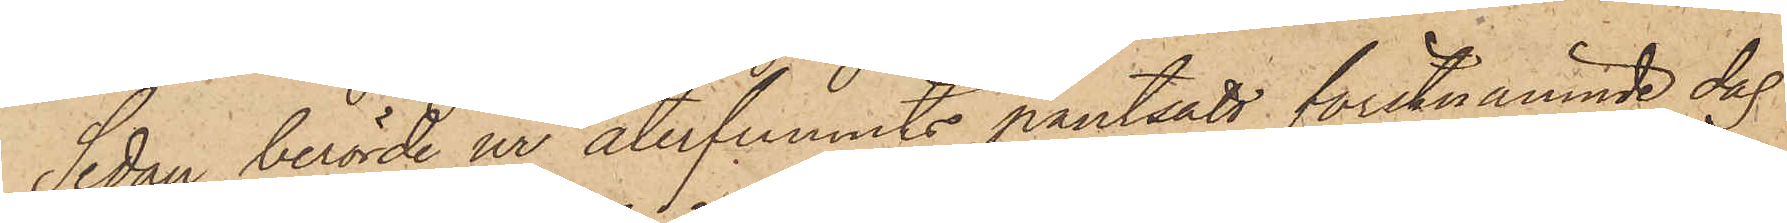Sedan berörde ur återfunnits pantsatt förstnämnde dag
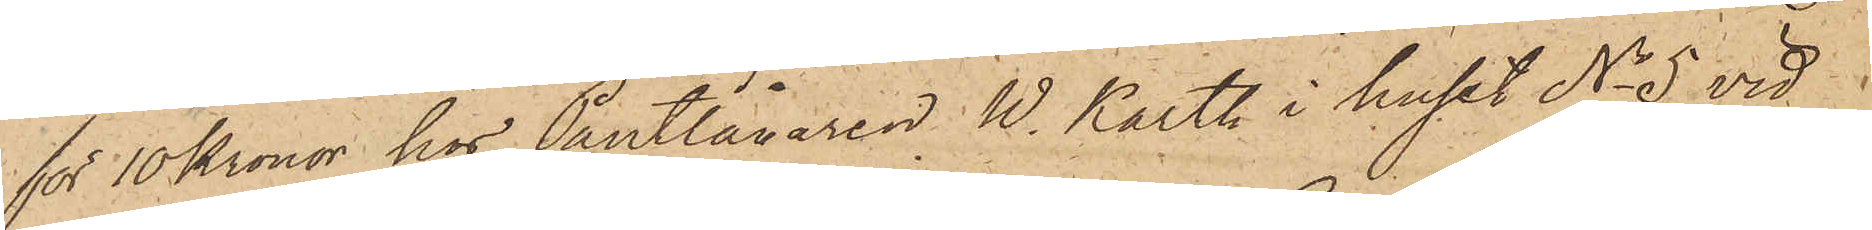för 10 Kronor hos Pantlånaren W. Karth i huset No 5 vid
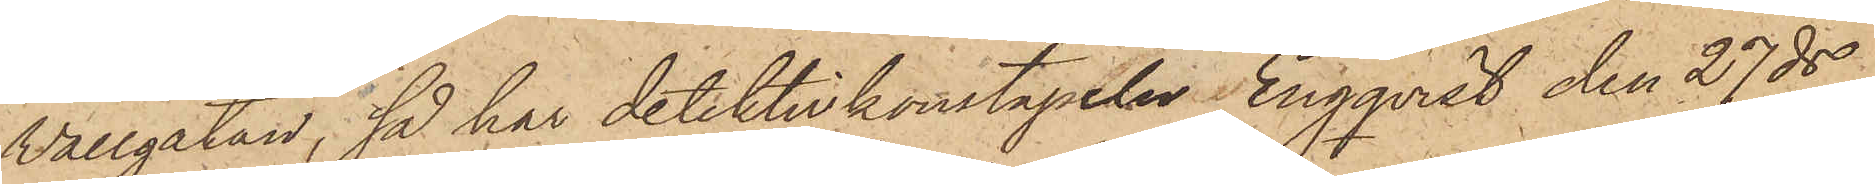Wallgatan, så har detektivkonstapeln Engqvist den 27 ds
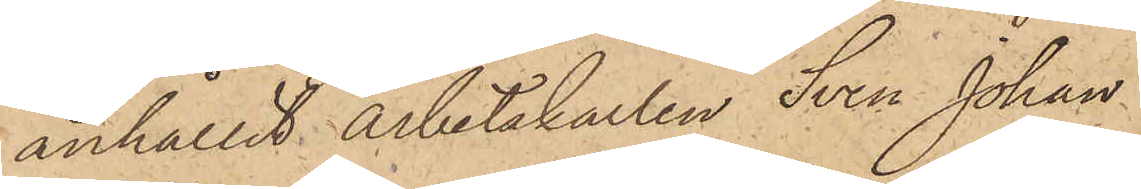anhållit arbetskarlen Sven Johan
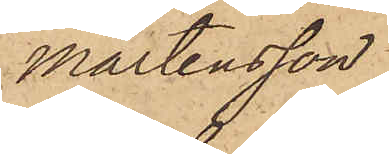Mårtensson.
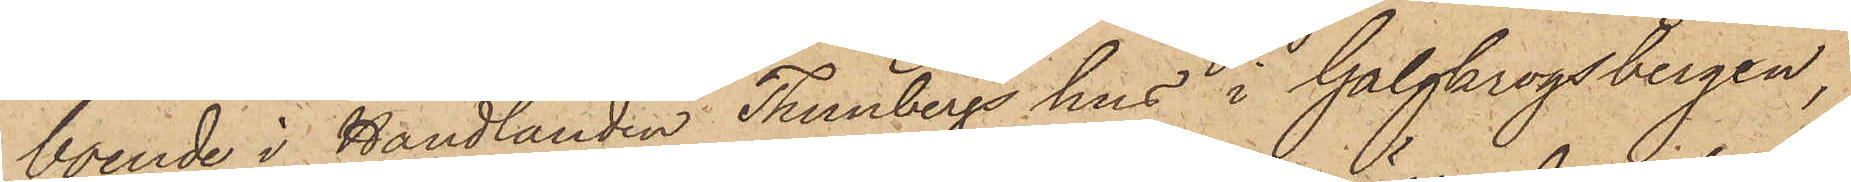boende i Handlanden Thunbergs hus i Galgkrogsbergen,
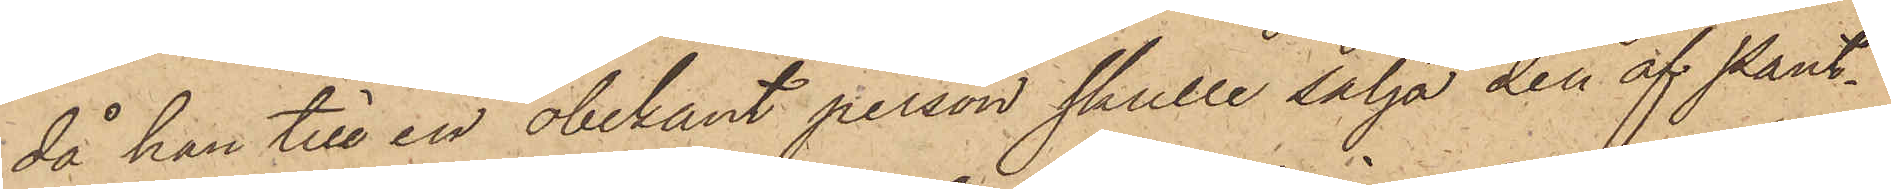då han till en obekant person skulle sälja den af Pant¬
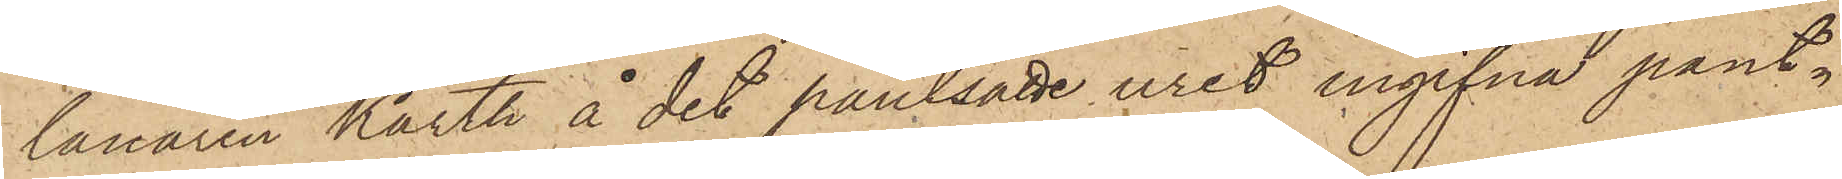lånaren Karth å det pantsatte uret ingifna pant¬
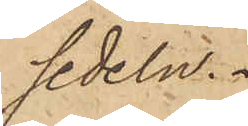sedeln.
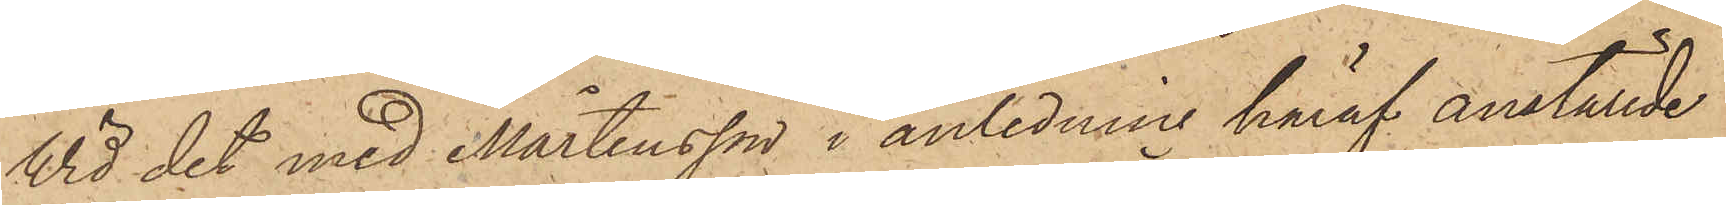Vid det med Mårtensson i anledning häraf anställde
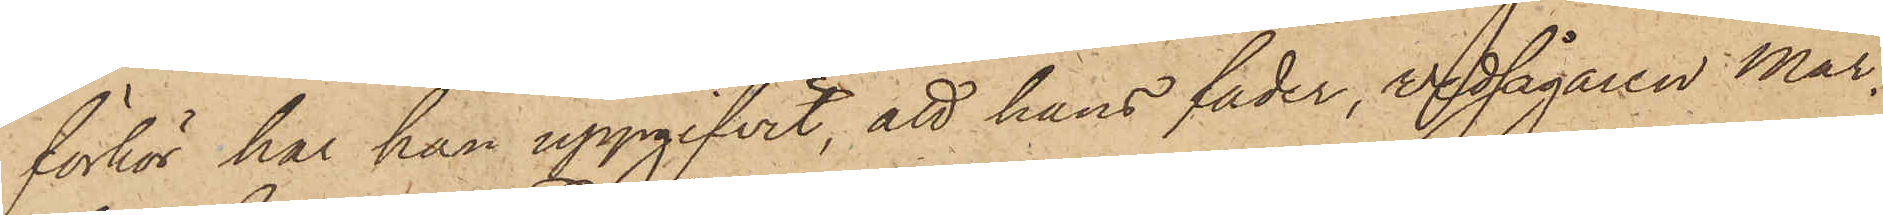förhör har han uppgifvit, att hans fader, vedsågaren Mår¬
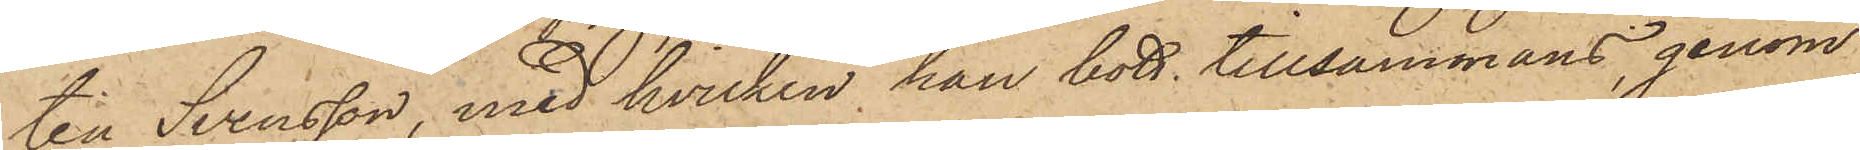ten Svensson, med hvilken han bott tillsammans, genom
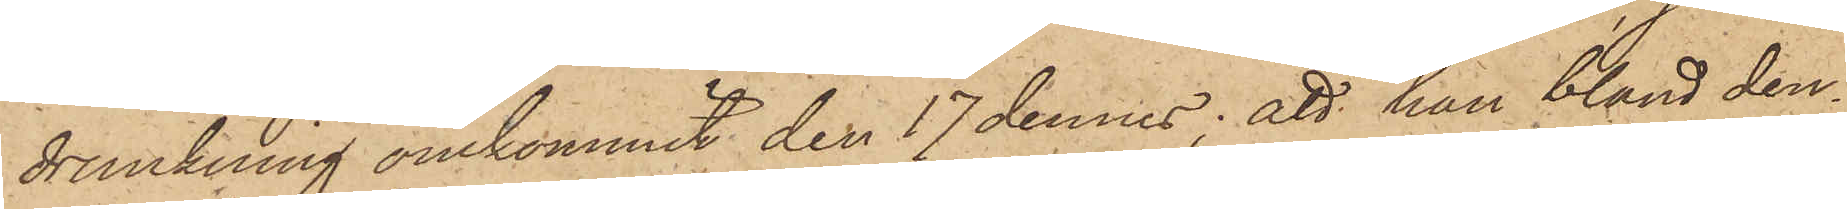drunkning omkommit den 17 dennes; att han bland den¬
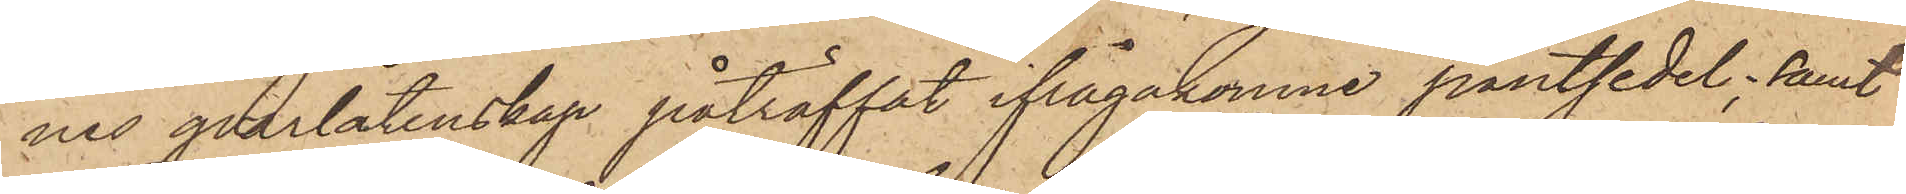nes qvarlåtenskap påträffat ifrågakomne pantsedel; samt
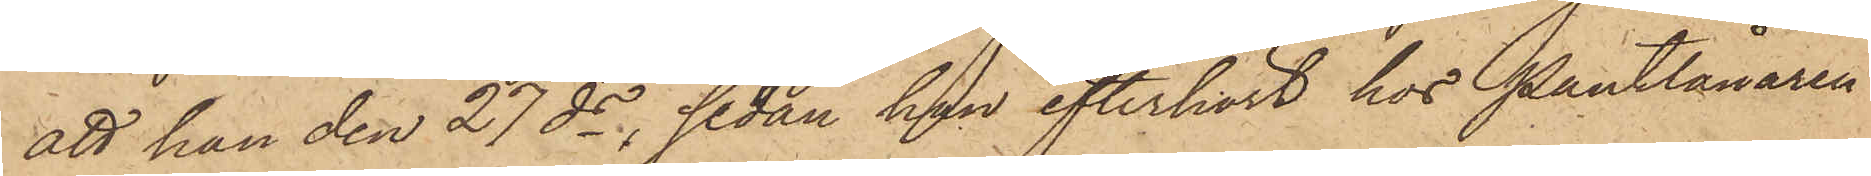att han den 27 ds, sedan han efterhört hos Pantlånaren
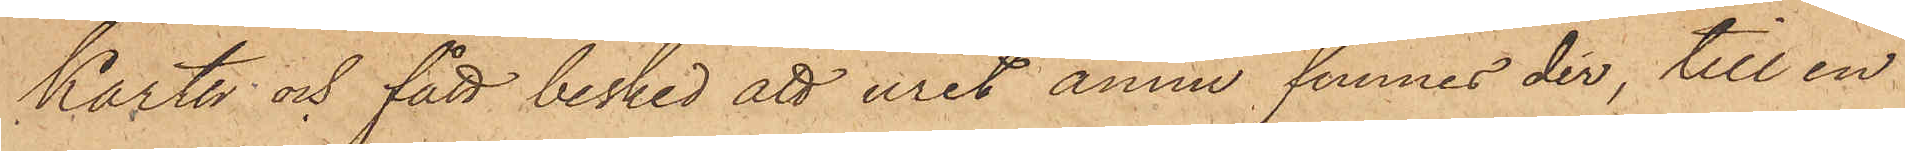Karth och fått besked att uret ännu funnes der, till en
